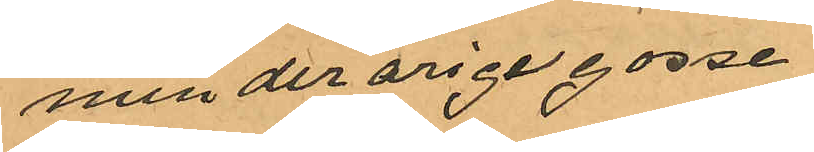minderårige gosse
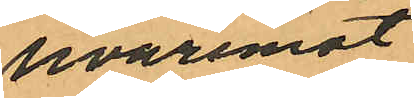hvaremot
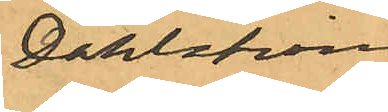Dahlström
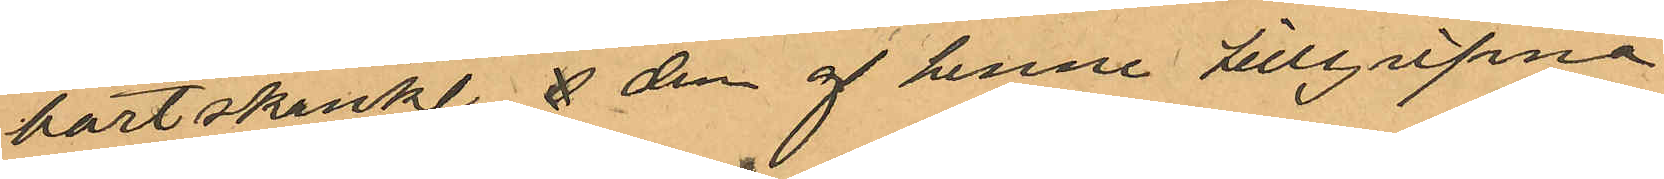bortskänkt  den af henne tillgripna
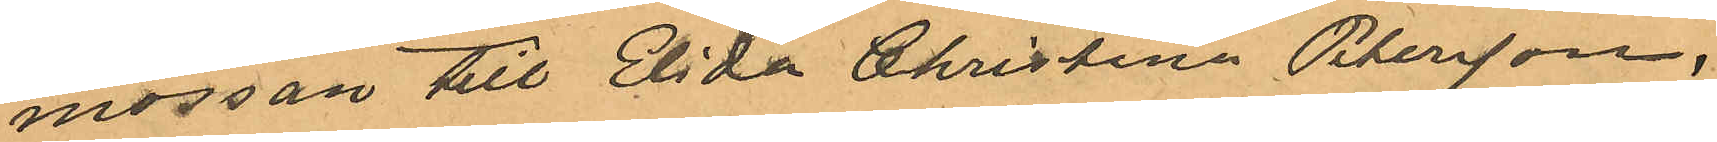mössan till Elida Christina Petersson,
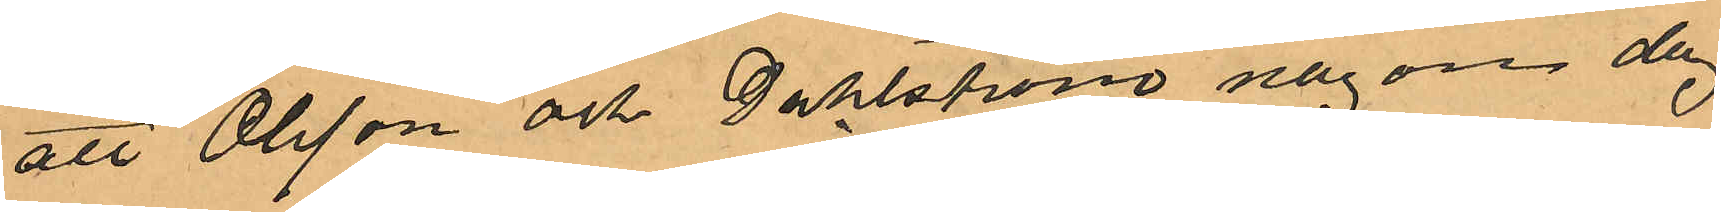att Olsson och Dahlstöm någon dag
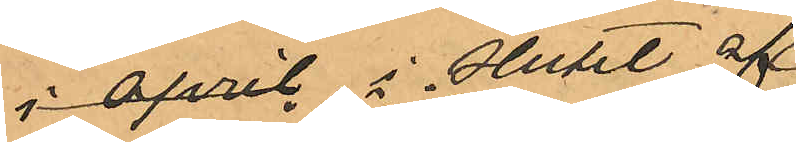i april, i slutet av
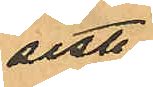sistl
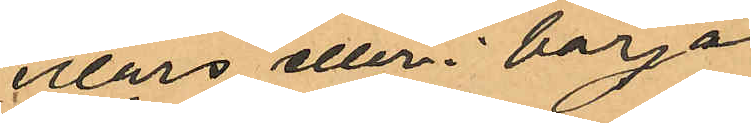mars eller i början
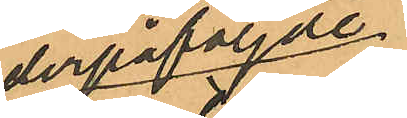derpåföljde
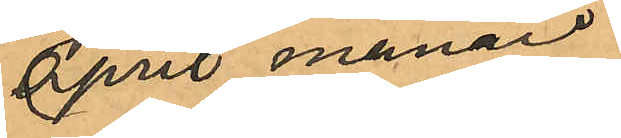april månad
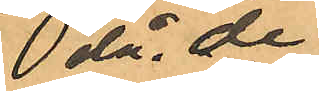då de
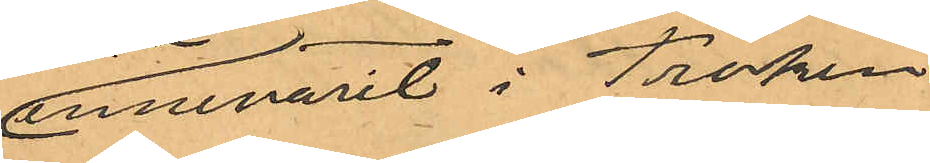innevarit i Fröken
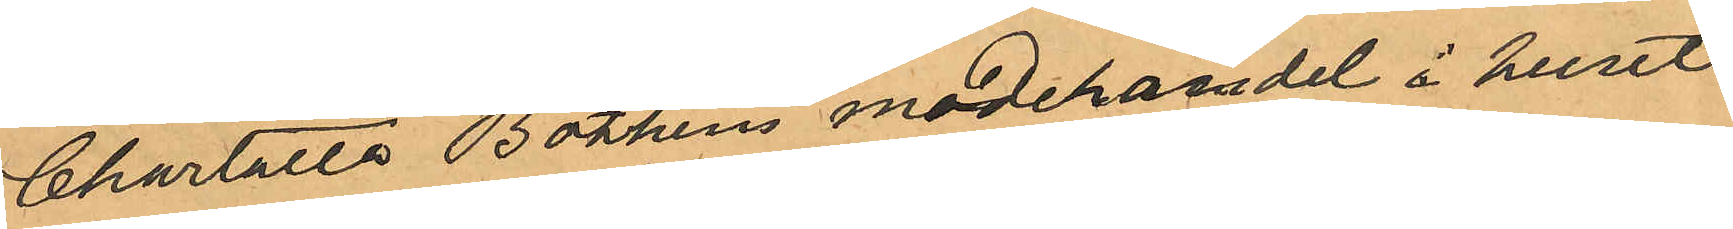Chartotta Bothéns modehandel i huset
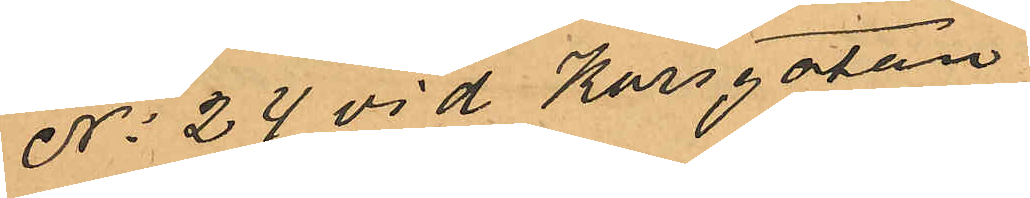No 24 vid Korsgatan
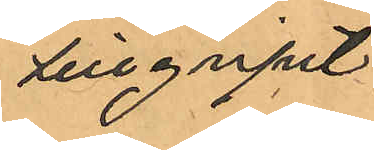tillgripit
